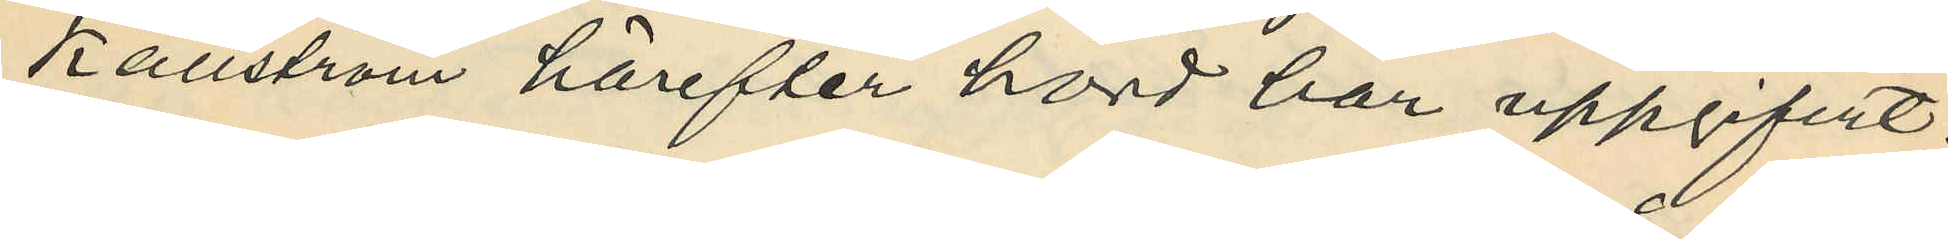Källström härefter hörd har uppgifvit:
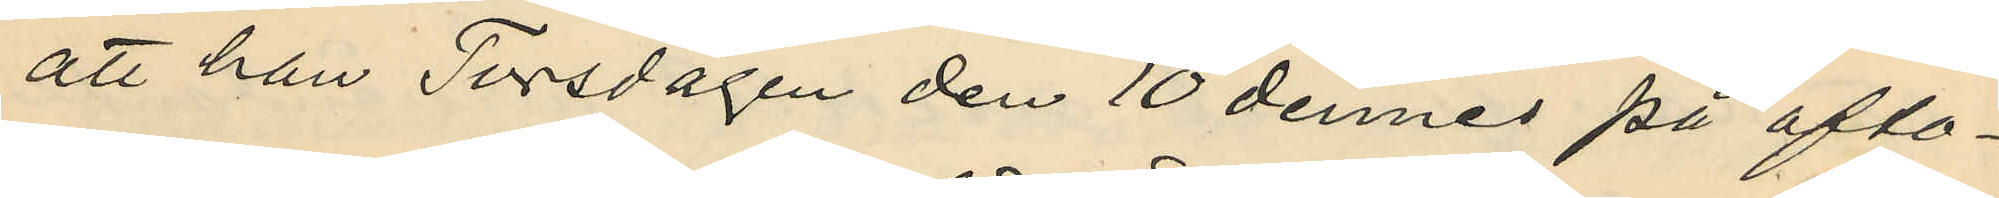att han Torsdagen den 10 dennes på afto¬
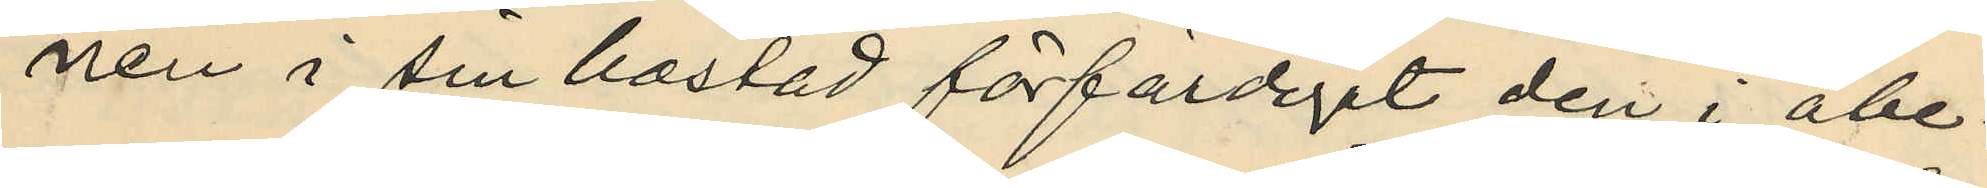nen i sin bostad förfärdigat den i åbe¬
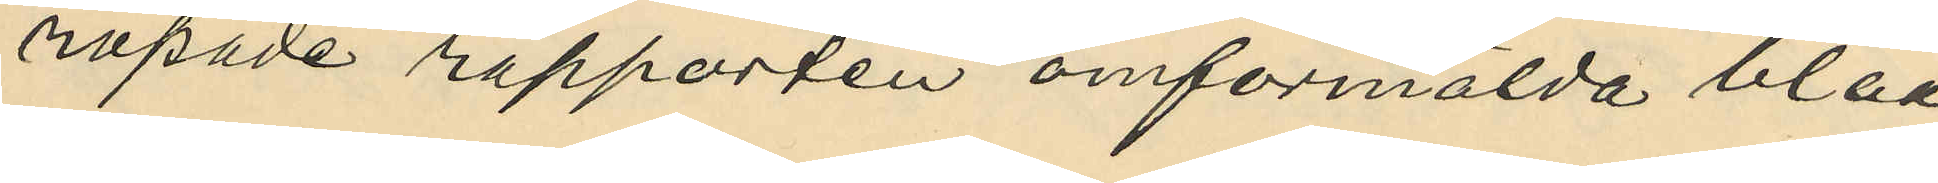ropade rapporten omförmälda blåa
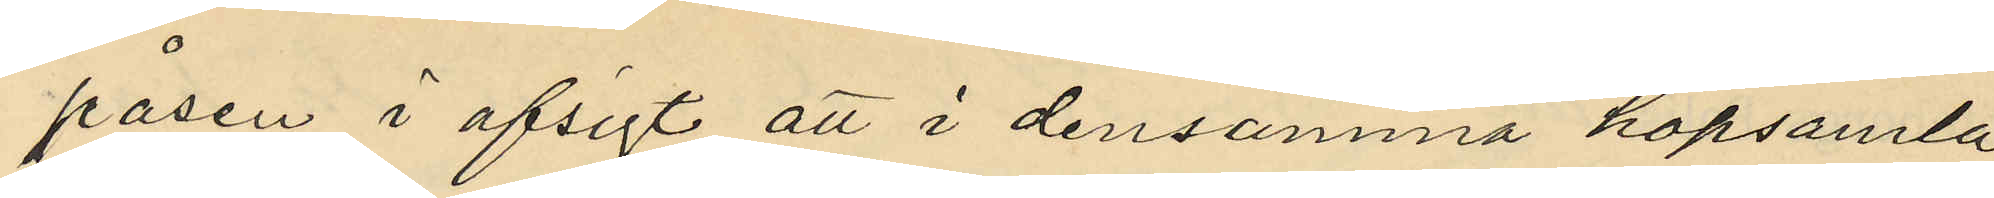påsen i afsigt att i densamma hopsamla
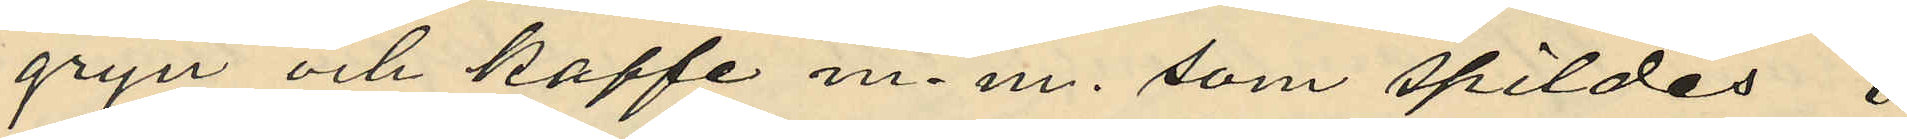gryn och kaffe m. m. som spildes i
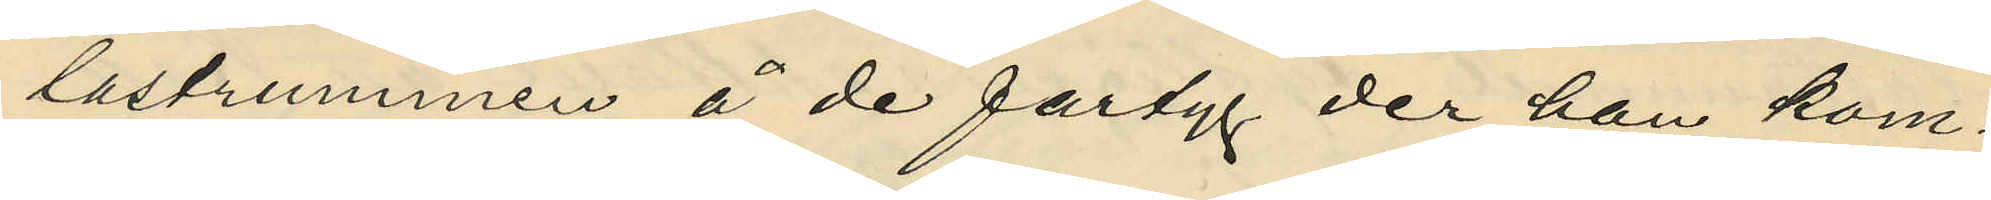lastrummen å de fartyg der han kom¬
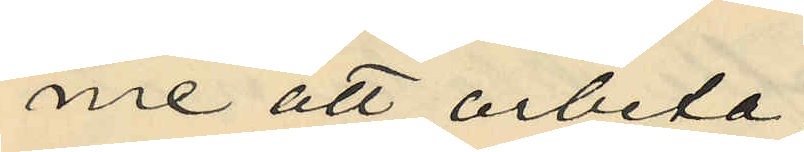me att arbeta;
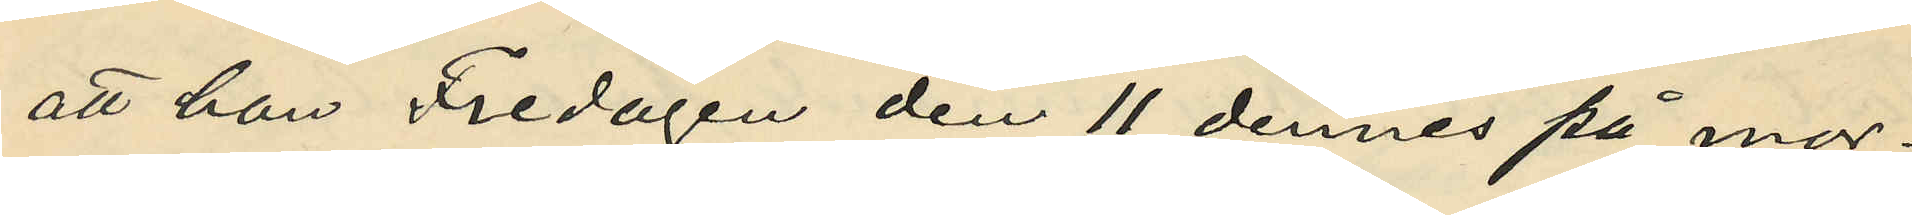att han Fredagen den 11 dennes på mor¬
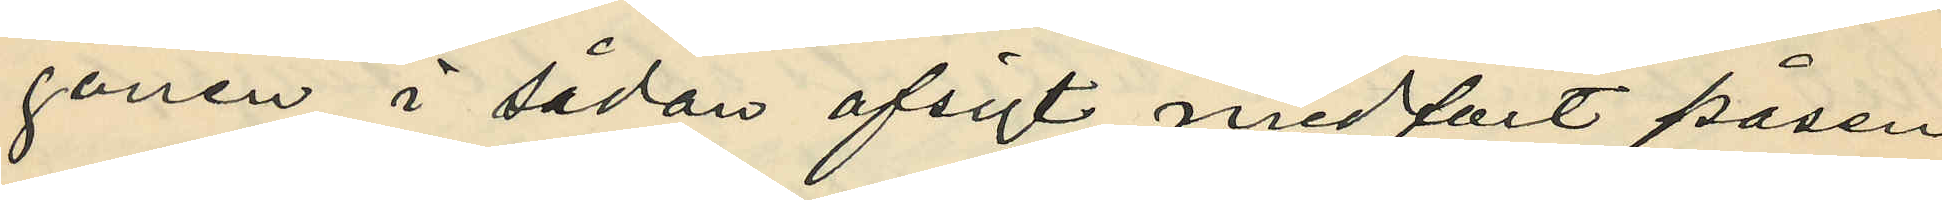gonen i sådan afsigt medfört påsen
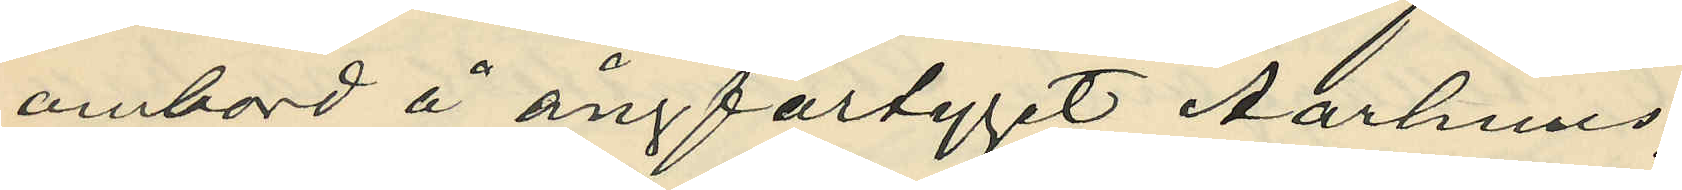ombord å ångfartyget Aarhuus;
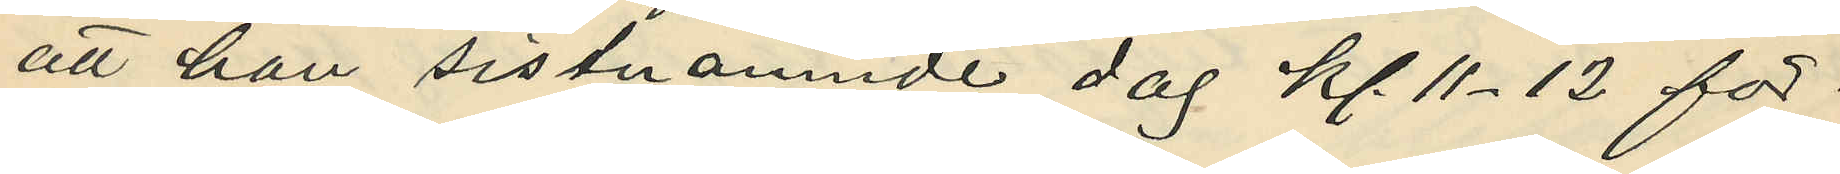att han sistnämnde dag kl. 11-12 för¬
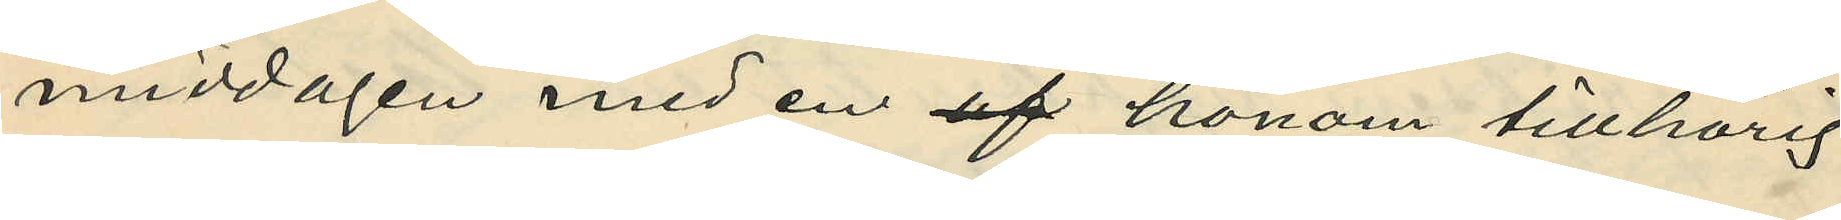middagen med en af honom tillhörig
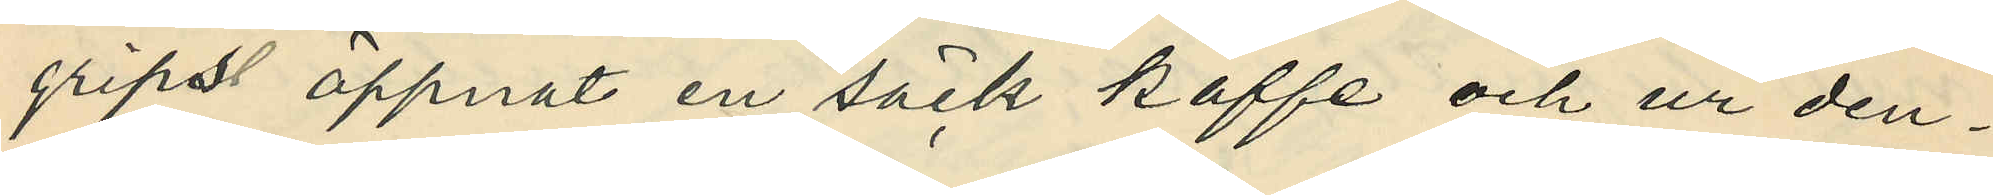gripsl öppnat en säck kaffe och ur den¬
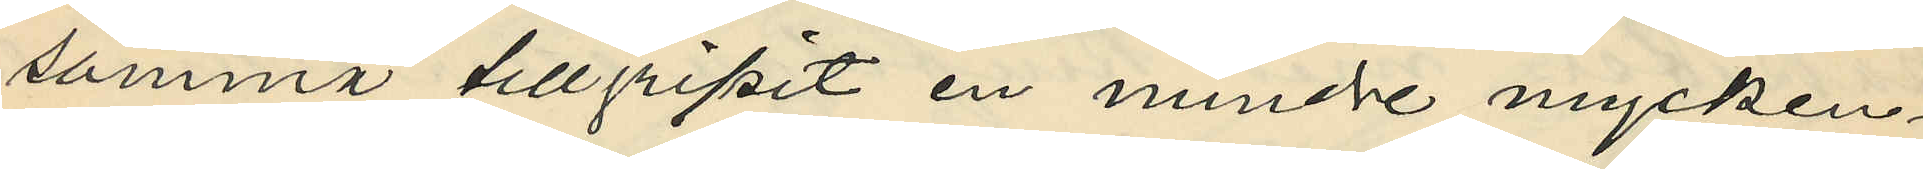samma tillgripit en mindre mycken¬
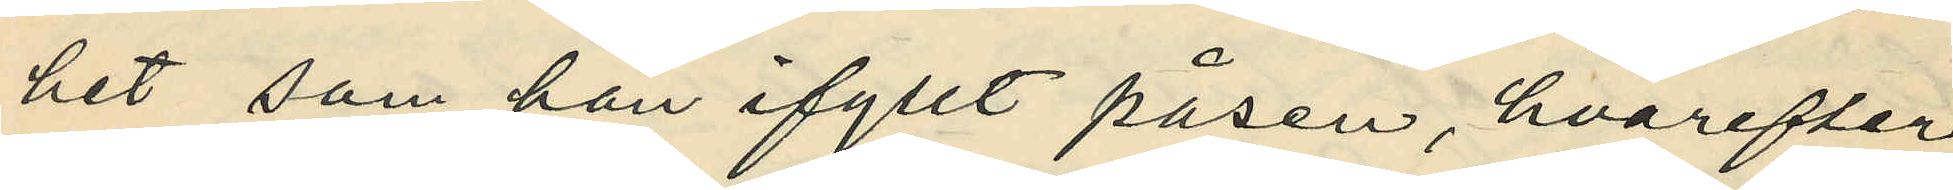het som han ifyllt påsen, hvarefter
